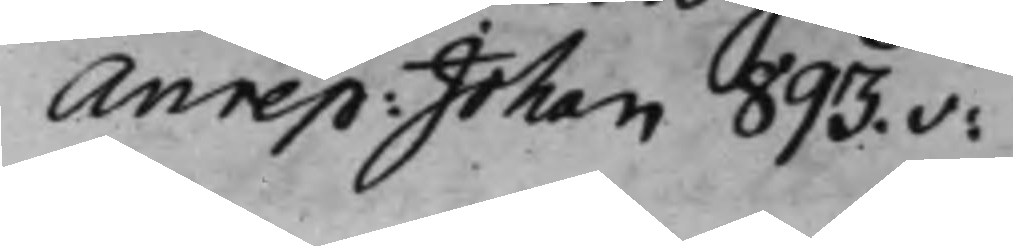Anrep: Johan 893.v:
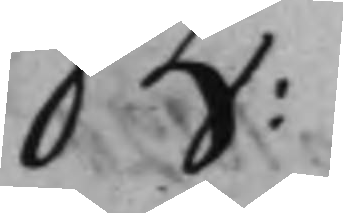B:
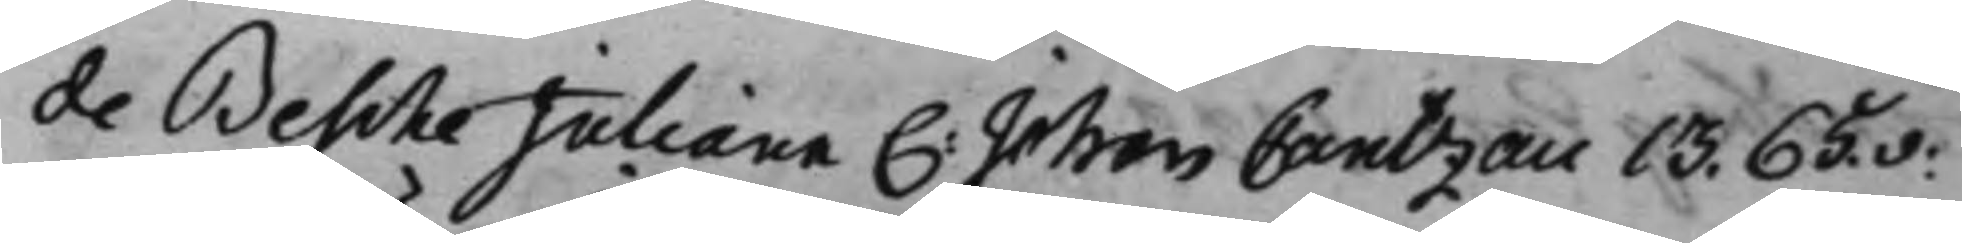de Besche Juliana C: Johan Cantzau 13. 65.v:
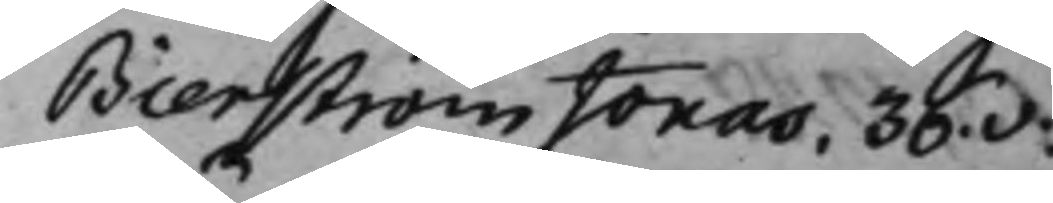Bierström Jonas, 36.v:
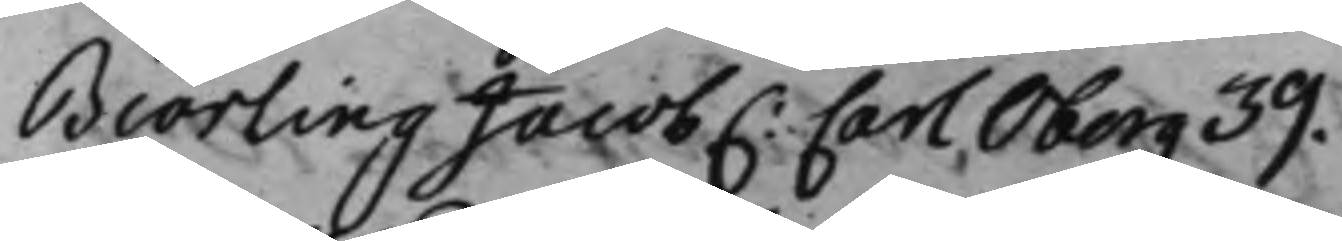Biörling Jacob C: Carl Öberg 39.
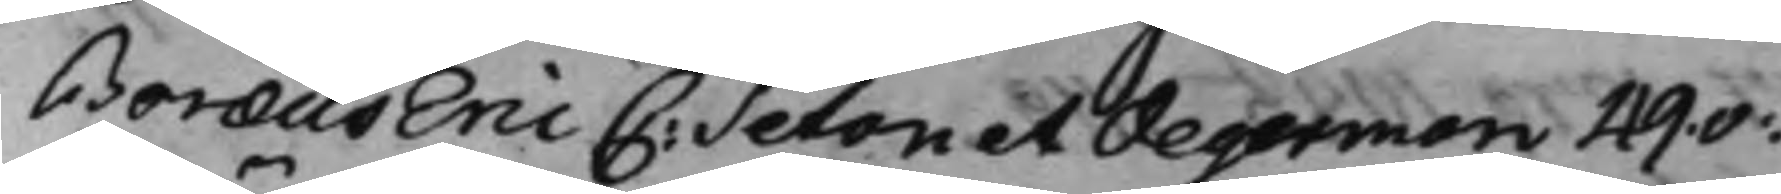Boræus Eric C: Seton et Degerman 49.v:
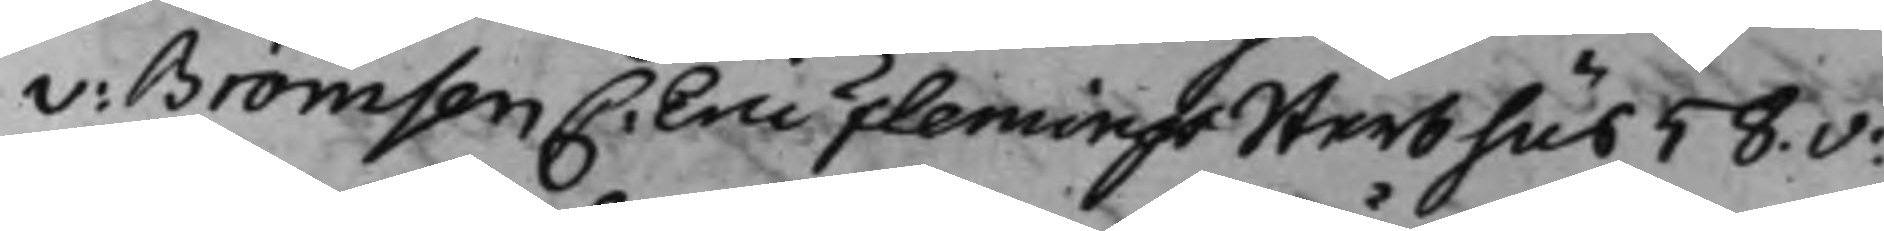v: Brömsen C. Eric Flemings Sterbhus 58.v:
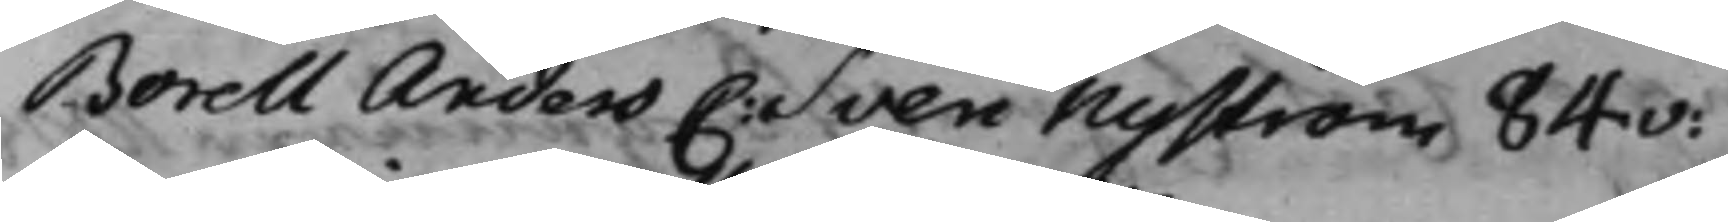Borell Anders C: Sven Nyström 84v:
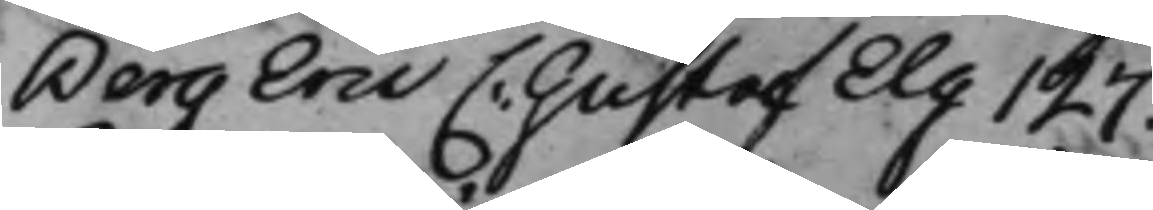Berg Eric C: Gustaf Elg 127.
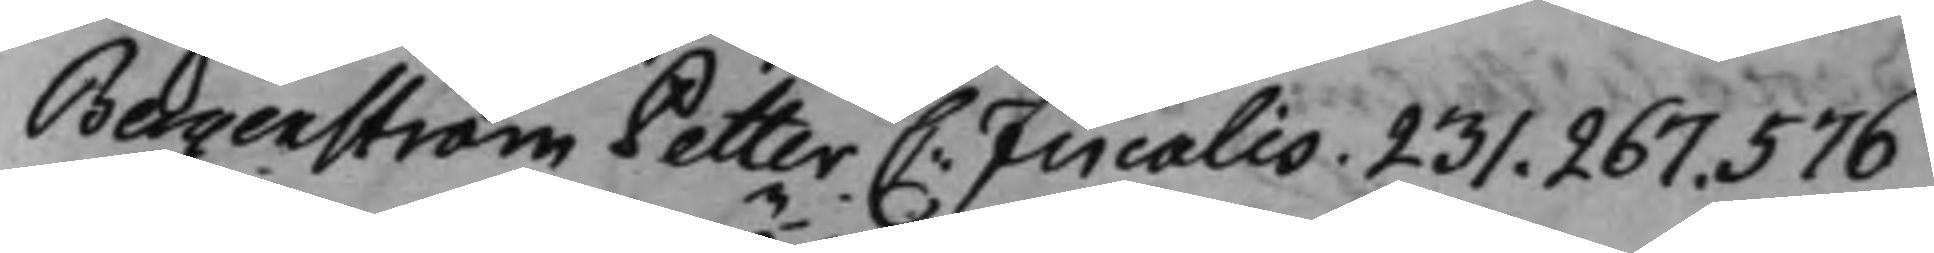Bergenström Petter C: Fiicalis. 231. 267. 576
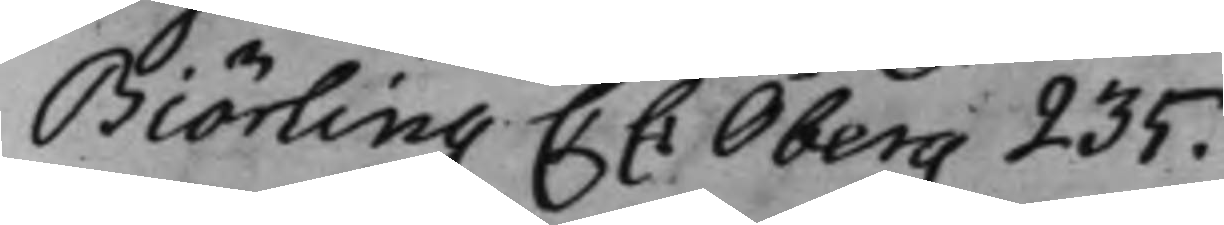Biörling C: C: Öberg 235.
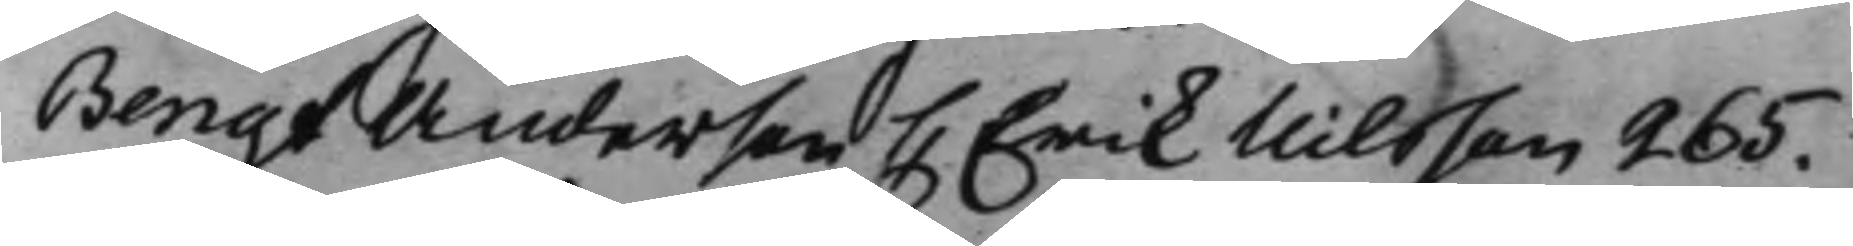Bengt Anderson C: Erik Nilsson 265.
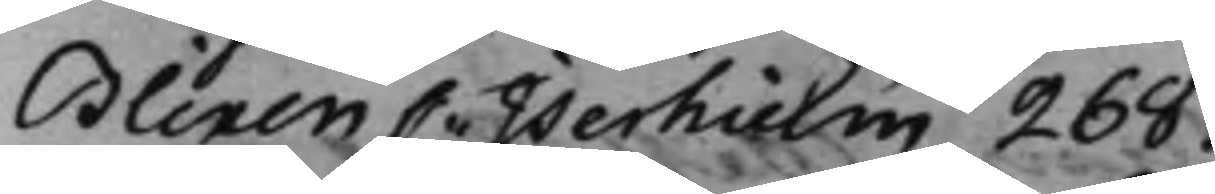Blixen C: Iserhielm 268.
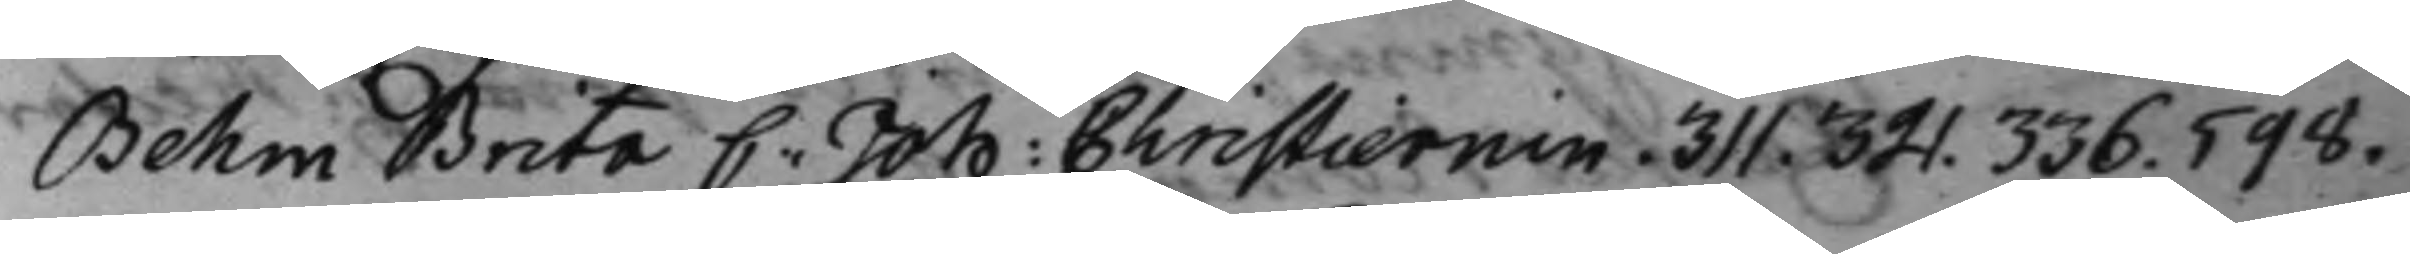Behm Brita C: Joh: Christierrnin. 311. 321. 336. 598.
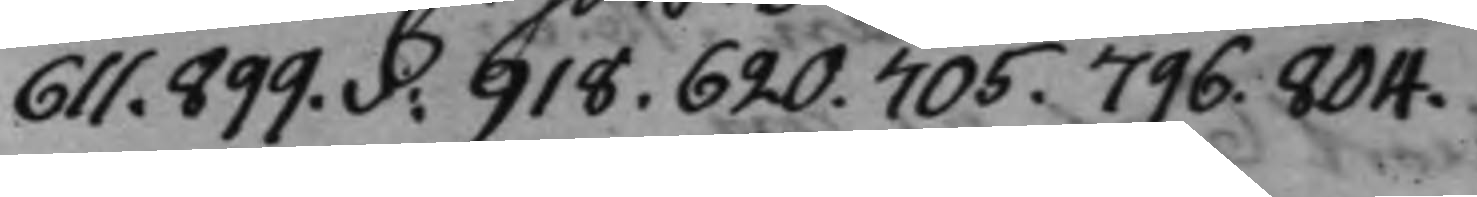611. 899v: 918. 620. 705. 796. 804.
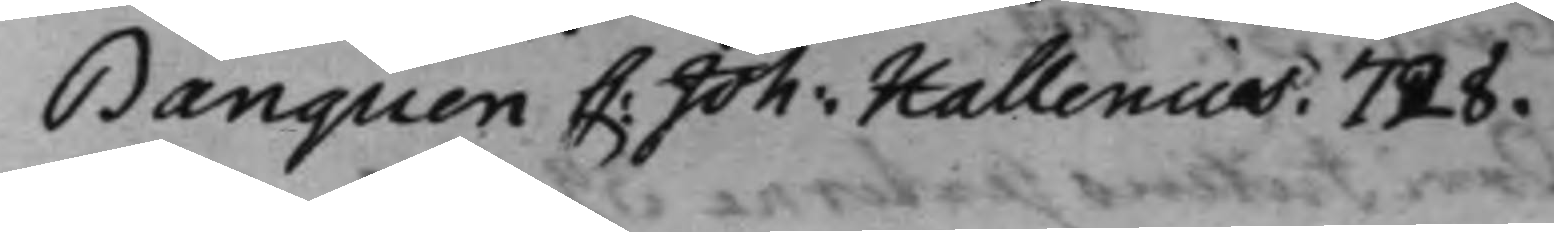Banquen C: Joh: Hallenius. 728.
